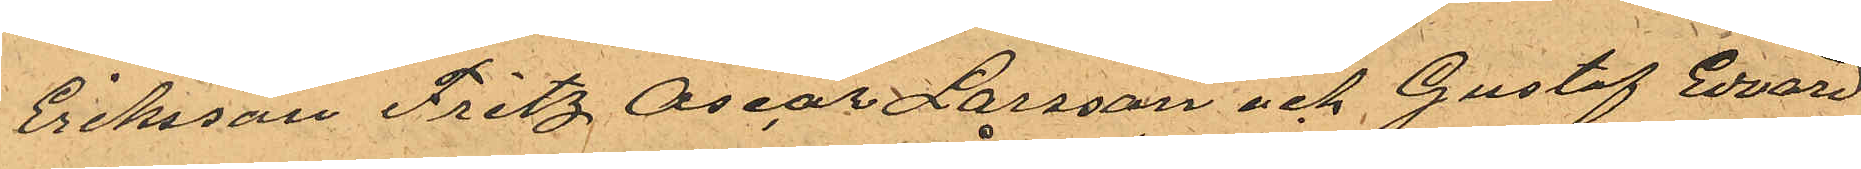Eriksson Fritz Oscar Larsson och Gustaf Edvard
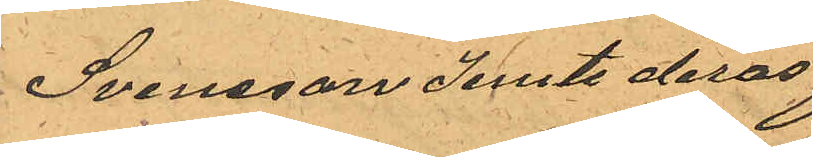Svensson jemte deras
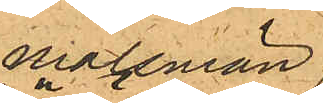målsmän
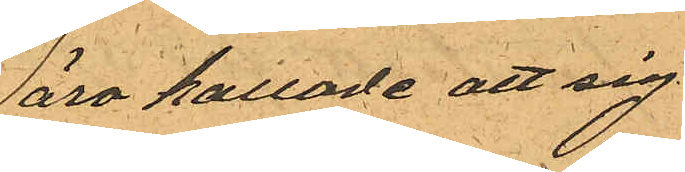äro kallade att sig
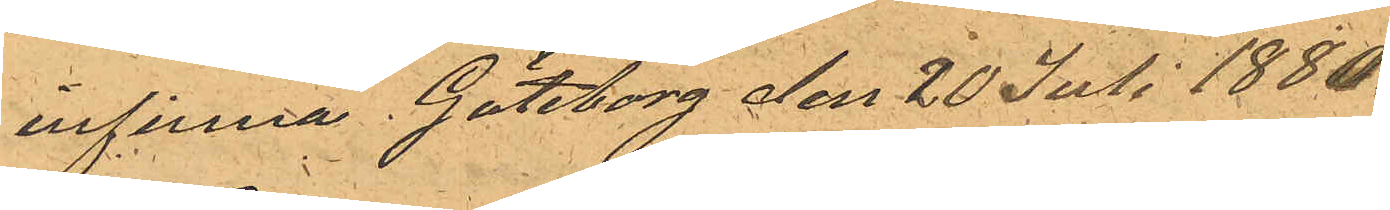infinna. Göteborg den 20 Juli 1880.
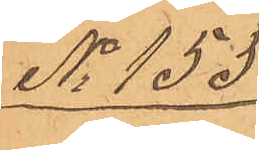No 155.
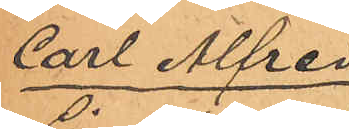Carl Alfred
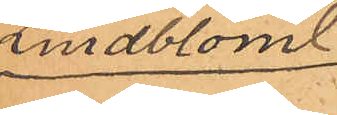Lindblom.
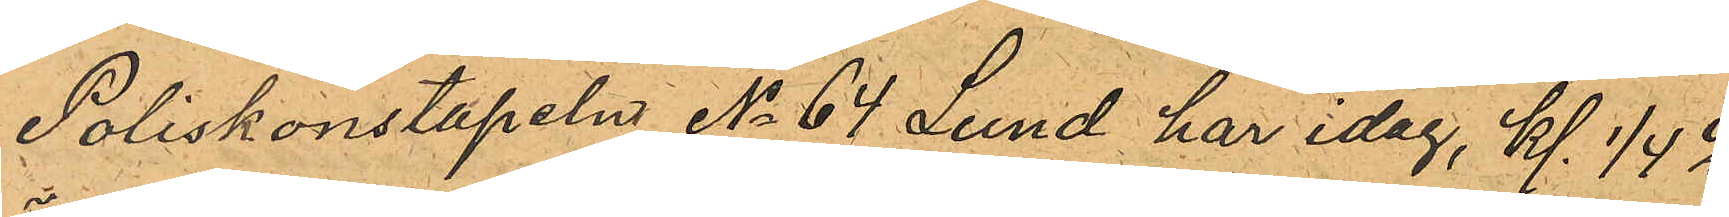Poliskonstapeln No 64 Lund har idag, kl. 1/4 2
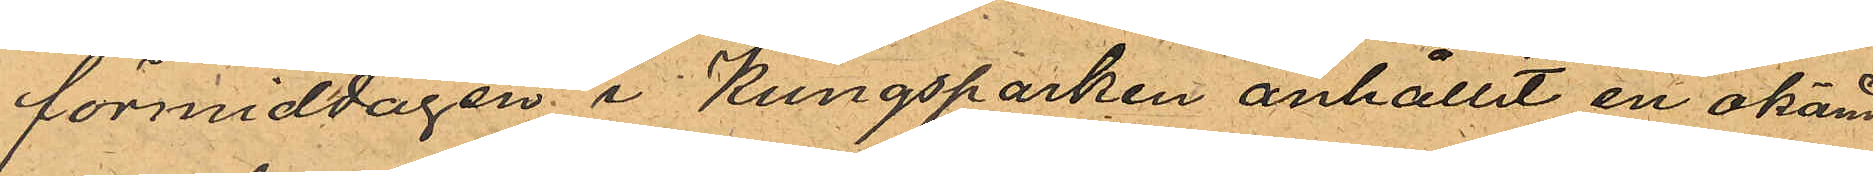förmiddagen i Kungsparken anhållit en okänd
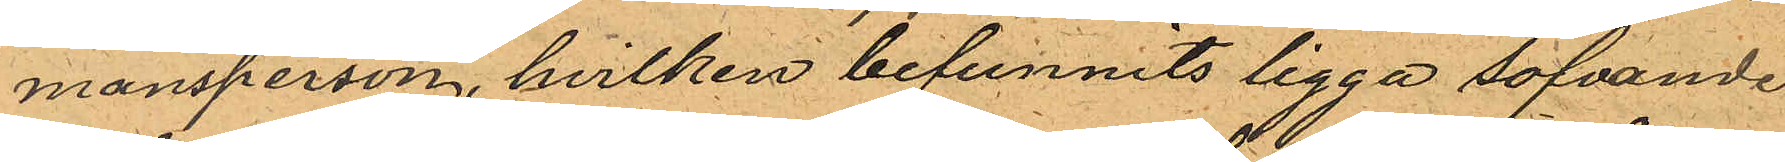mansperson, hvilken befunnits ligga sofvande
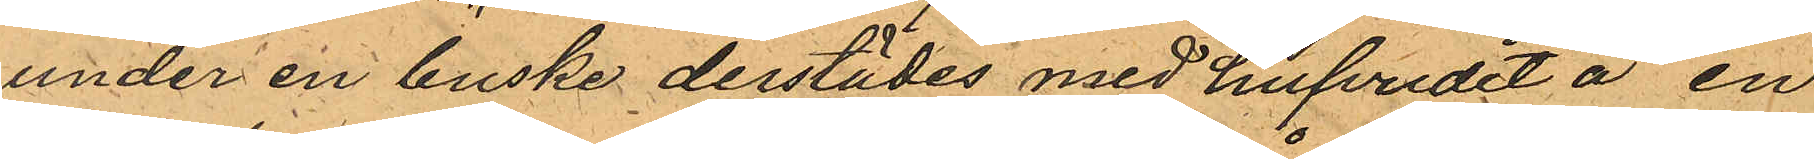under en buske derstädes med hufvudet å en
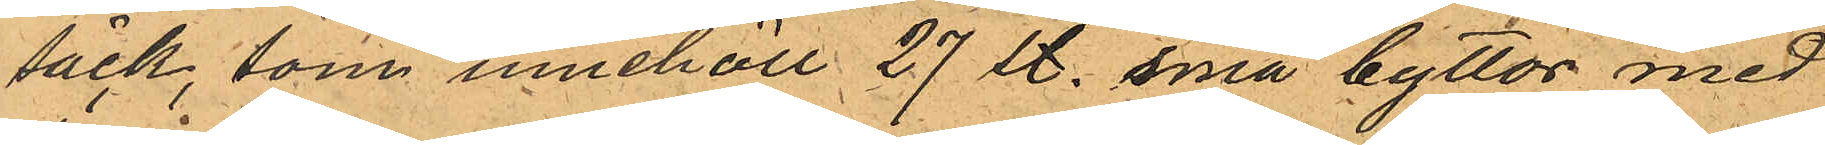säck, som innehöll 27 st. små byttor med
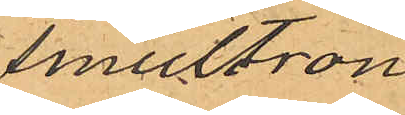smultron.
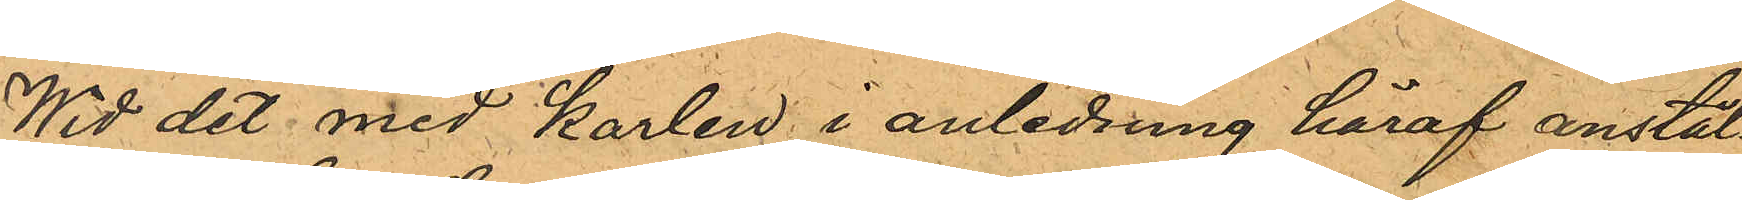Wid det med karlen i anledning häraf anstäl¬
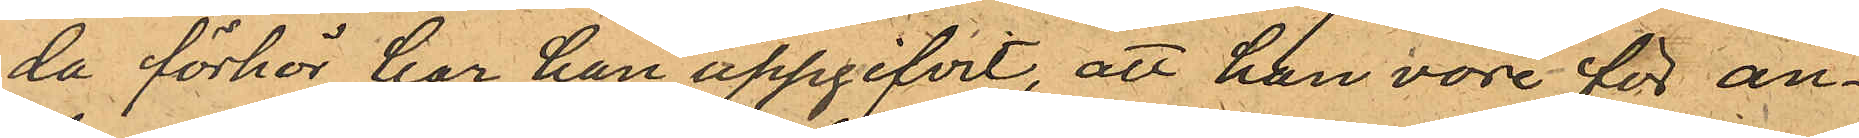da förhör har han uppgifvit, att han vore för an¬
